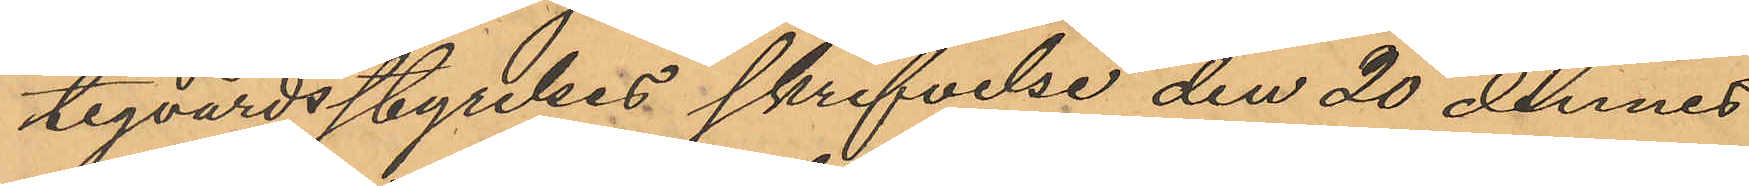tigvårdsstyrelses skrifvelse den 20 dennes
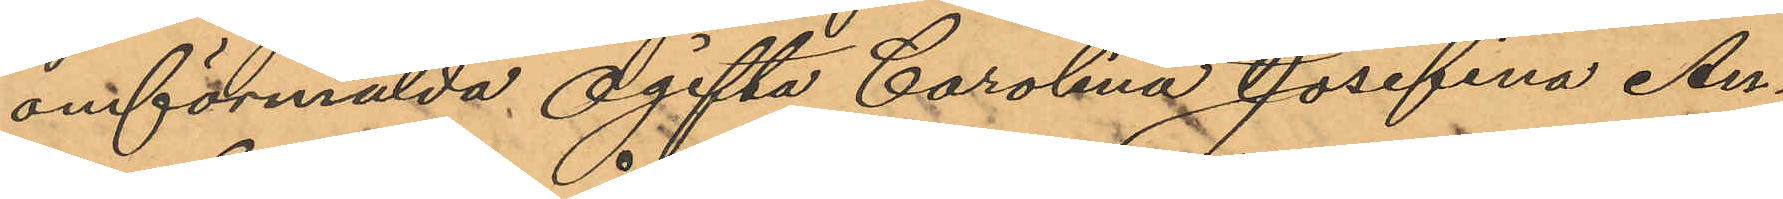omförmälda Ogifta Carolina Josefina An¬
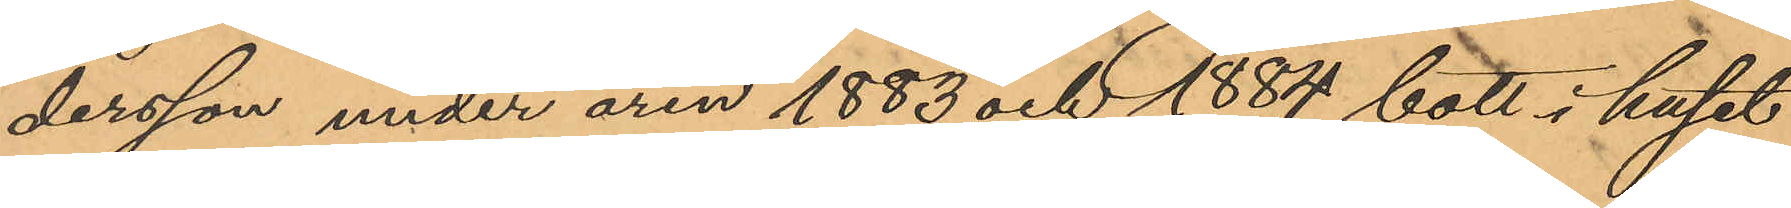dersson under åren 1883 och 1884 bott i huset
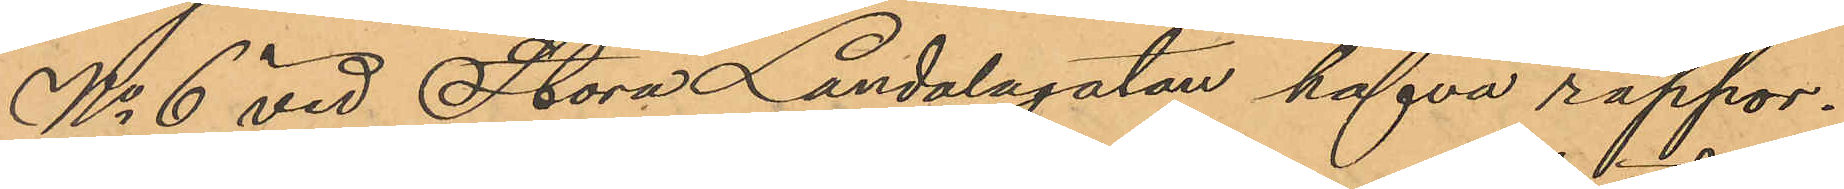No 6 vid Stora Landalagatan hafva rappor¬
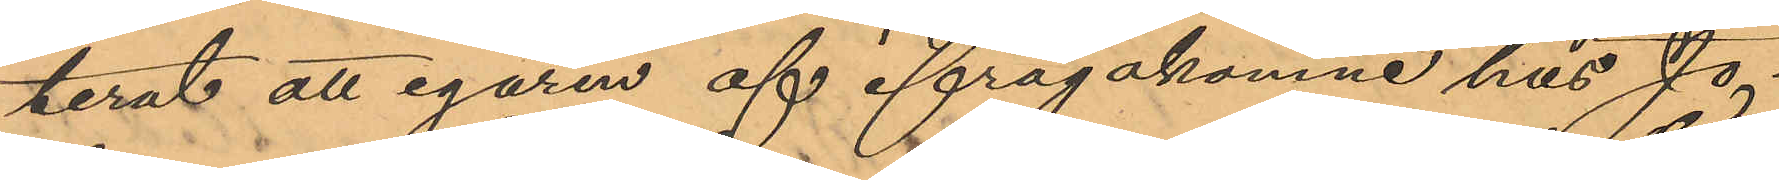terat, att egaren af ifrågakomne hus Jo¬
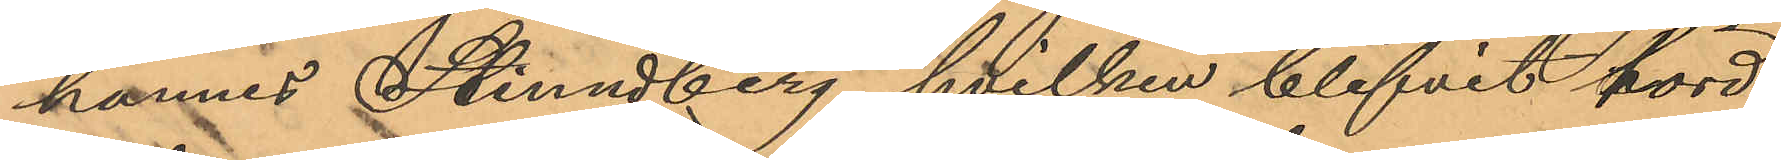hennes Strindberg, hvilken blifvit hörd,
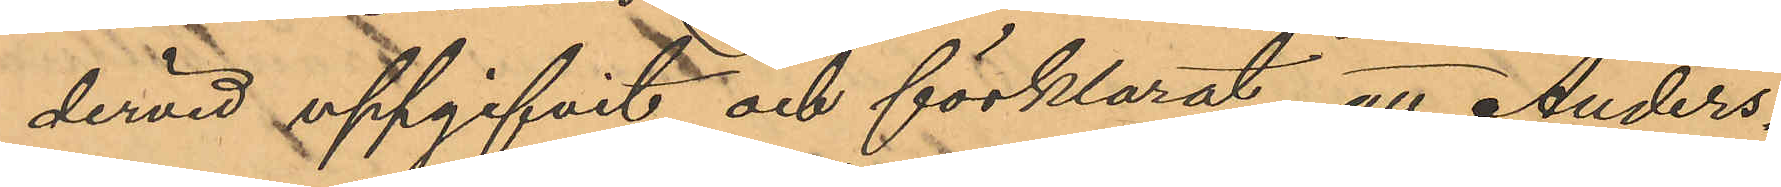dervid uppgifvit och förklarat, att Anders¬
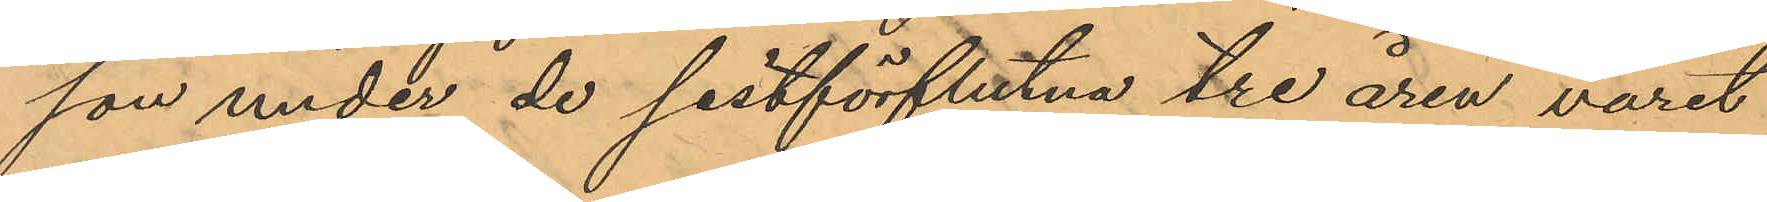son under de sistförflutna tre åren varit
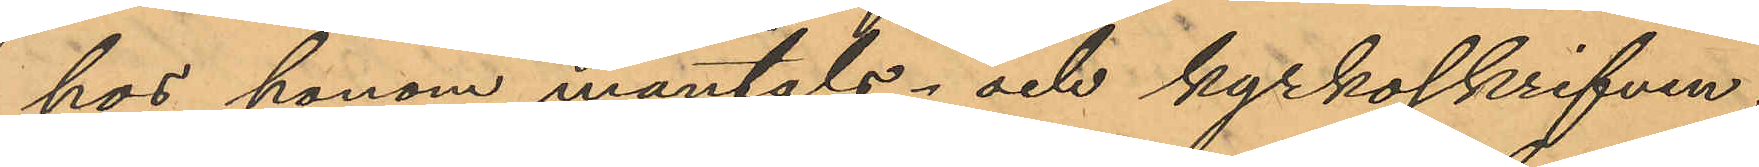hos honom mantals- och kyrkoskrifven,
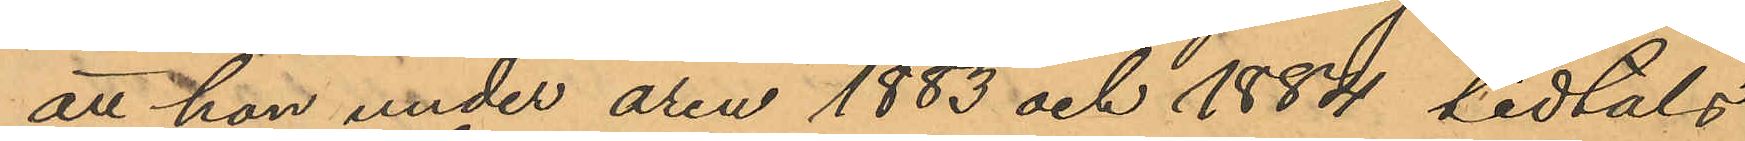att hon under åren 1883 och 1884 tidtals
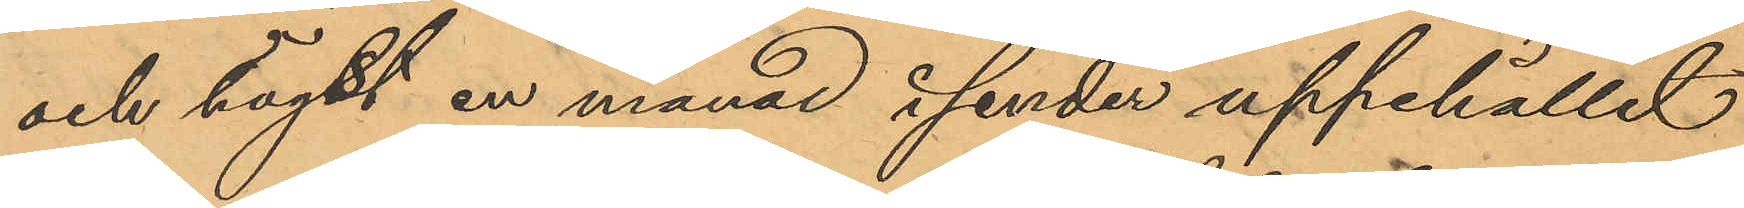och högst en månad i sender uppehållit
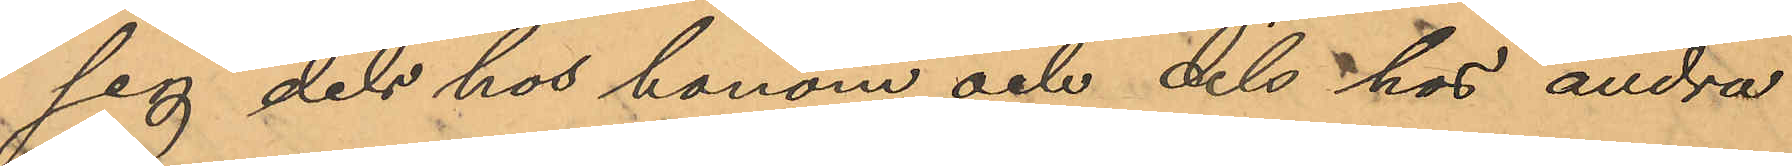sig dels hos honom och dels hos andra
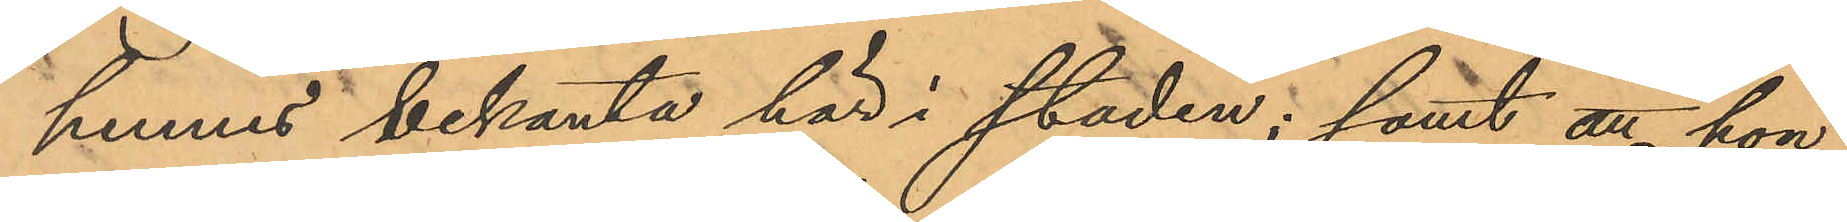hennes bekanta här i staden; samt att hon
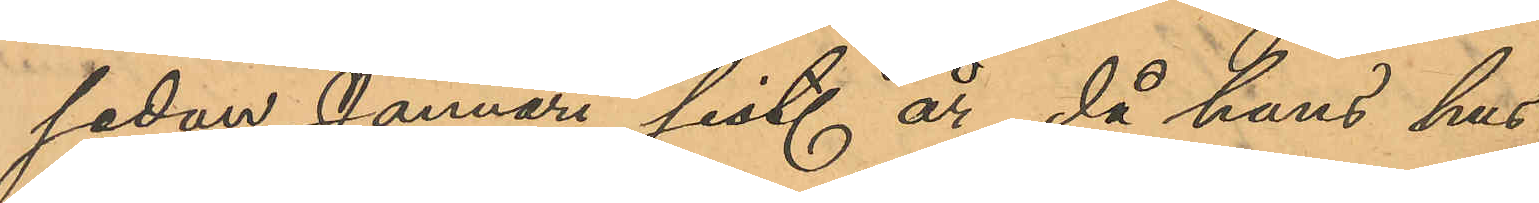sedan Januari sist. år, då hans hus
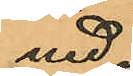ned
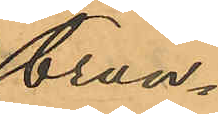brun¬
